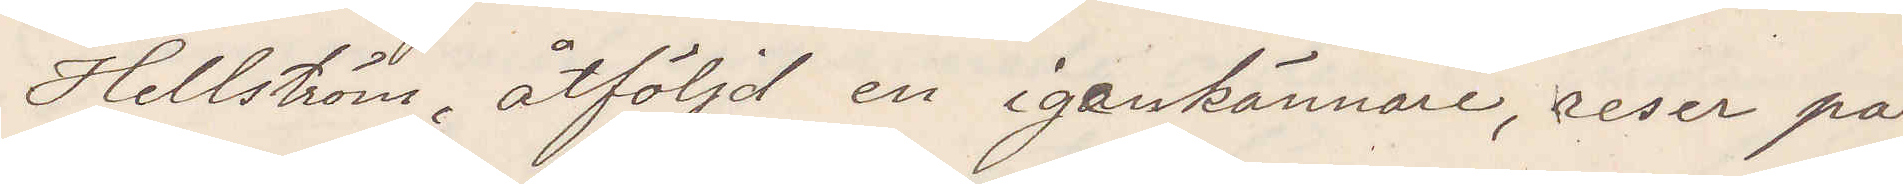Hellström åtföljd en igenkännare, reser på
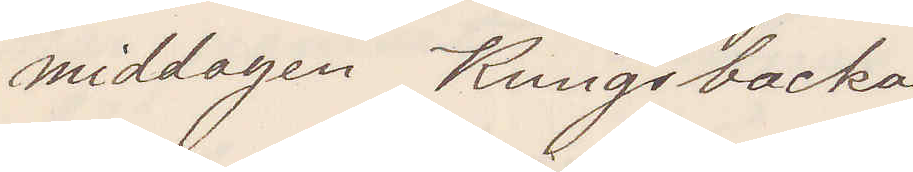middagen Kungsbacka
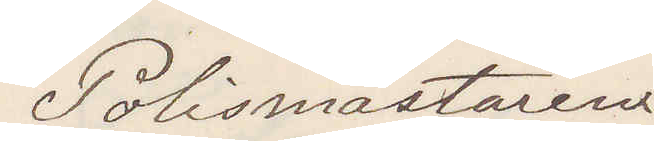Polismästaren
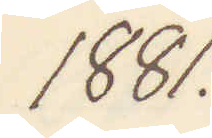1881.
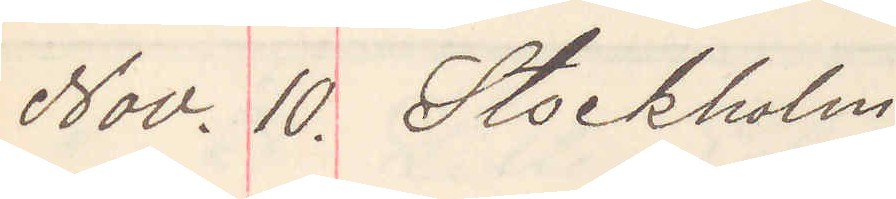Nov. 10. Stockholm
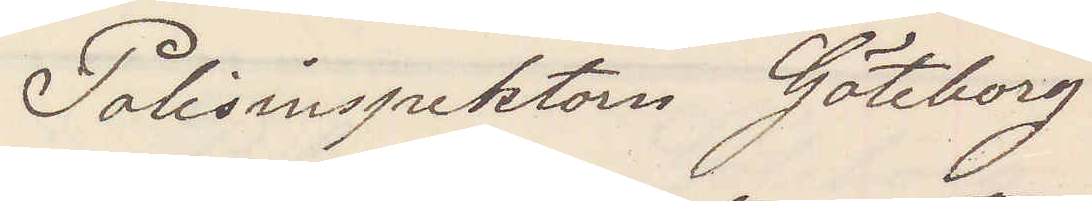Polisinspektorn Göteborg
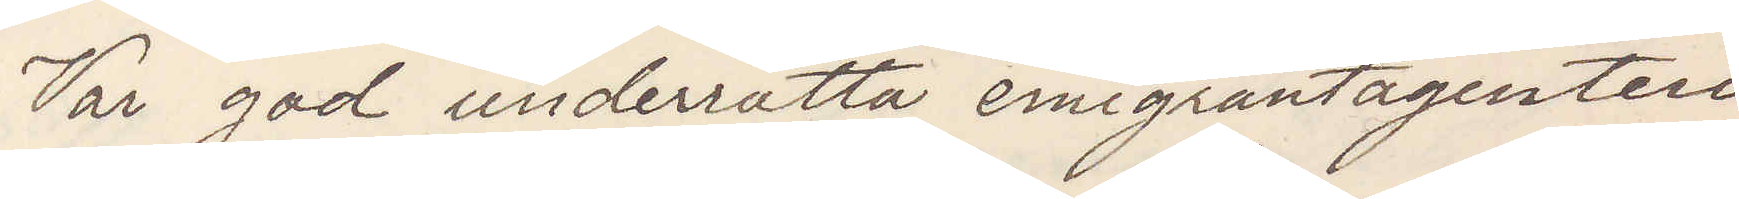Var god underrätta emigrantagenten
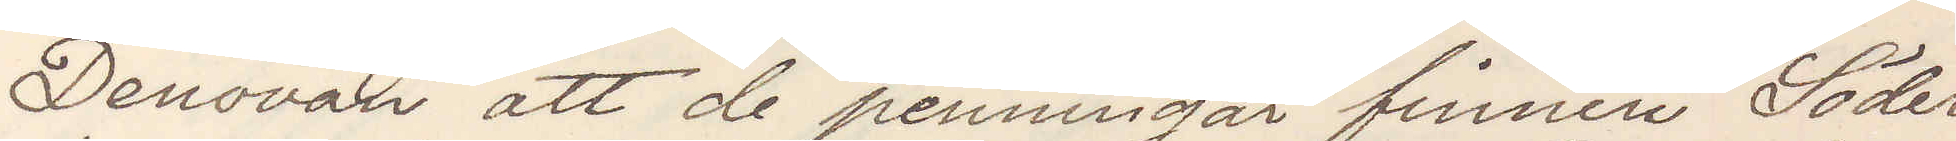Denovan att de penningar finnen Söder¬
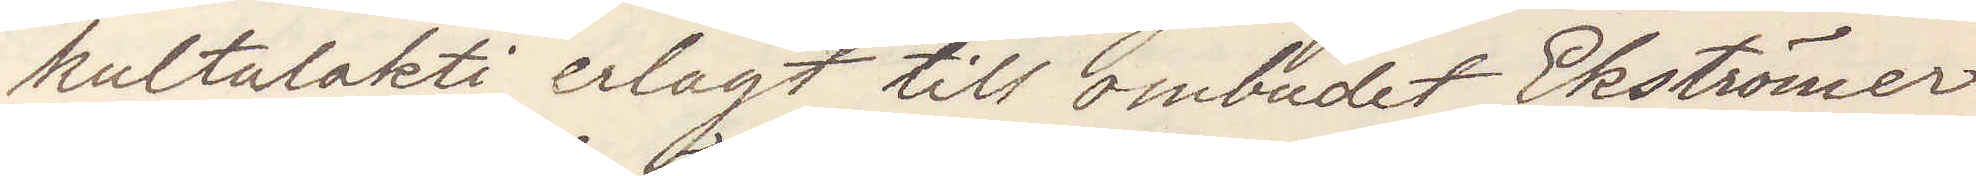kultalakti erlagt till ombudet Ekströmer
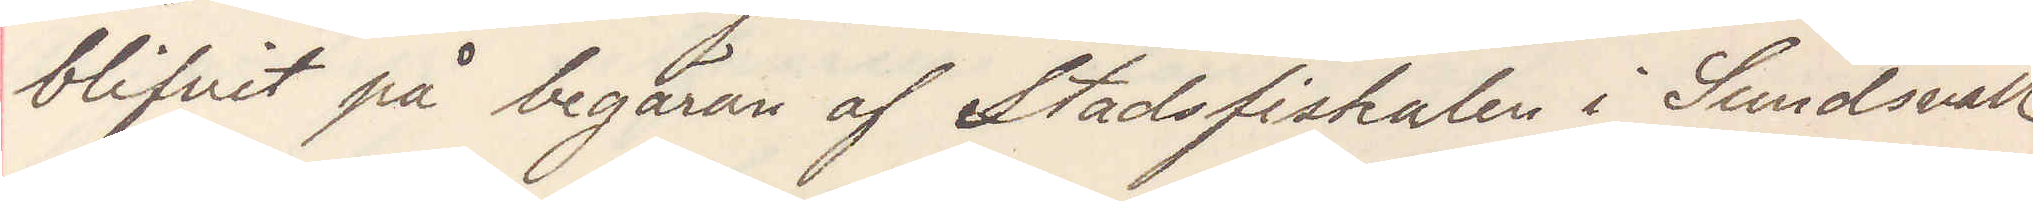blifvit på begäran af Stadsfiskalen i Sundsvall
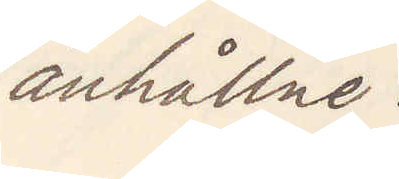anhållne.
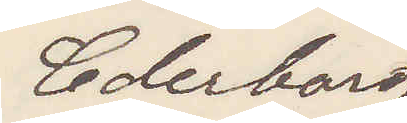Cederborg
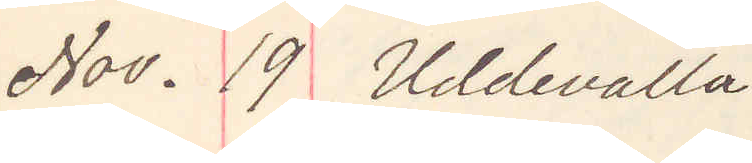Nov. 19 Uddevalla
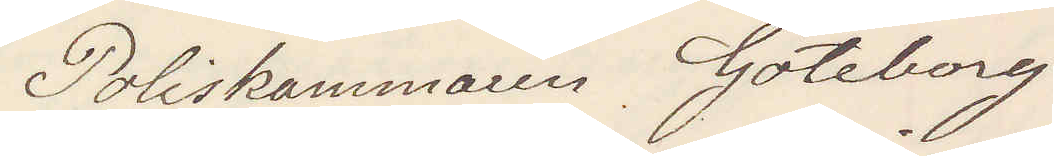Poliskammaren Göteborg
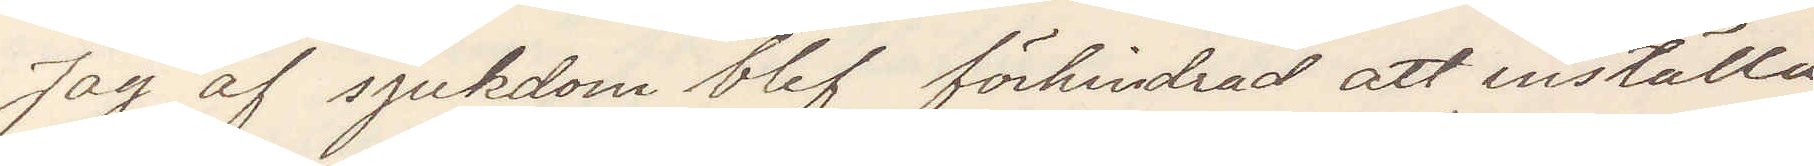Jag af sjukdom blef förhindrad att inställa
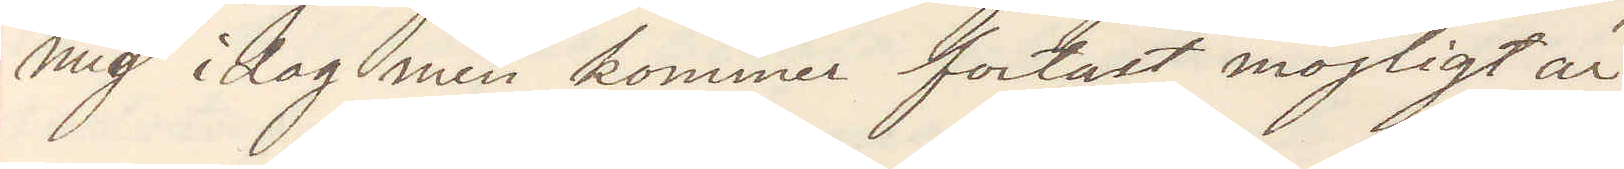mig idag men kommer fortast möljigt är.
